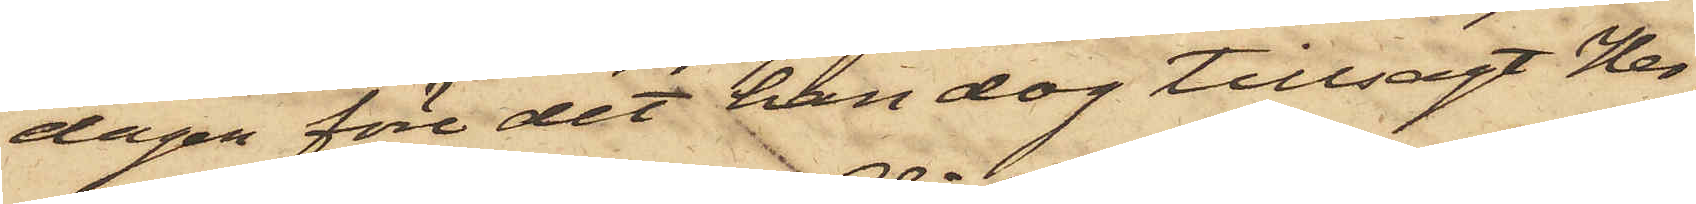dagen före det han dog tillsagt Her¬
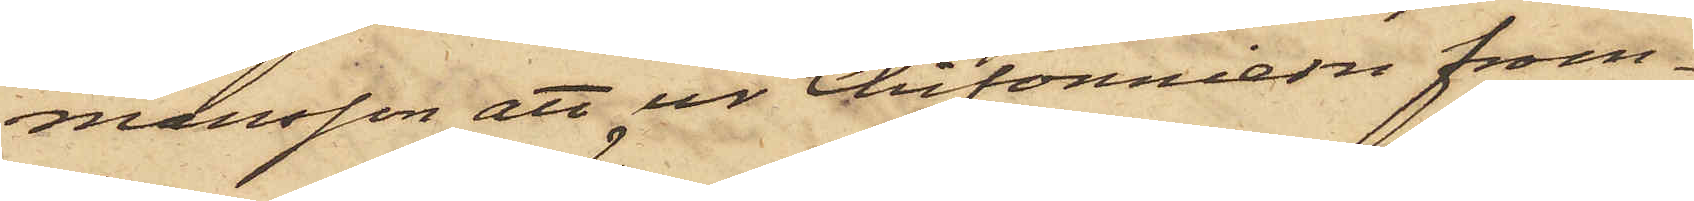mansson att ur Chifonniern fram¬
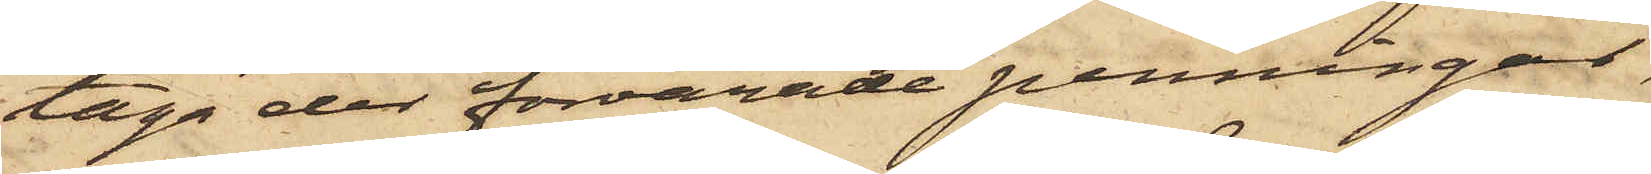taga der förvarade penningar,
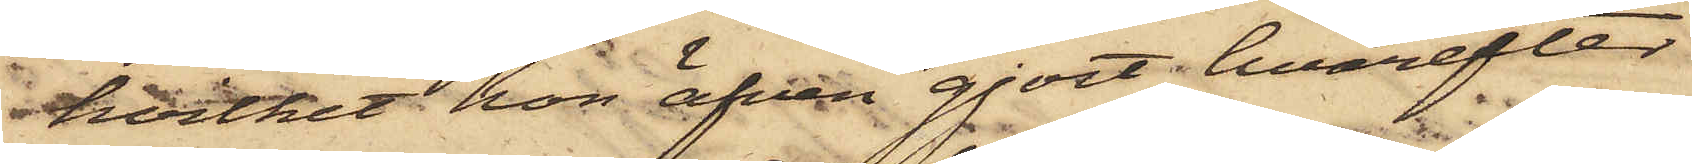hvilket hon äfven gjort, hvarefter
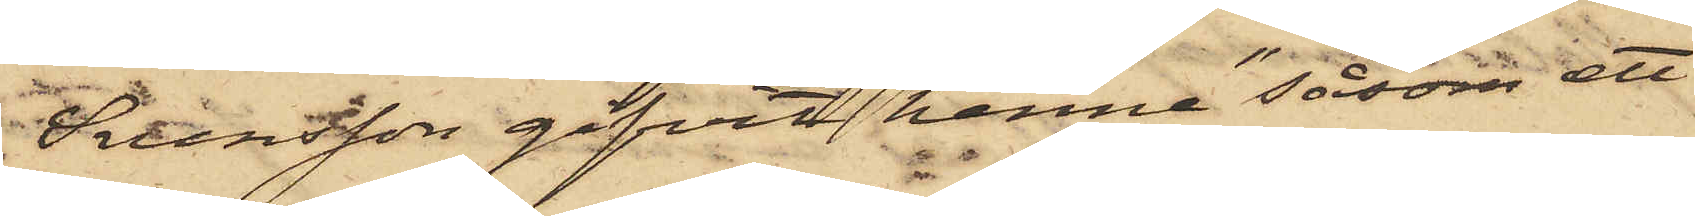Svensson gifvit henne "såsom ett
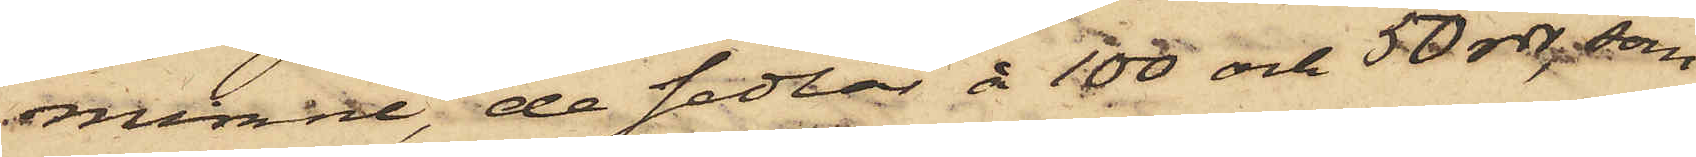minne", de sedlar å 100 och 50 rdr, som
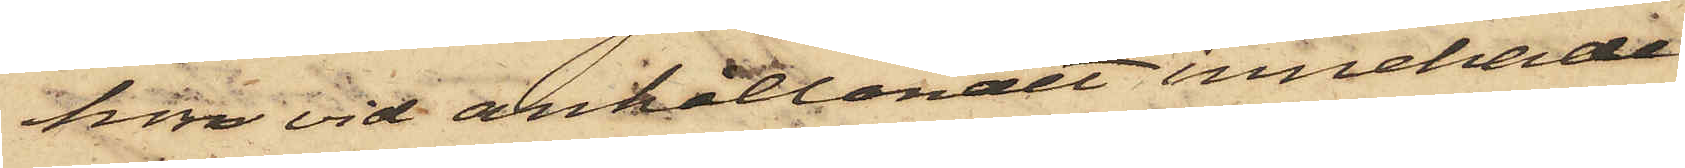hon vid anhållandet innehade.
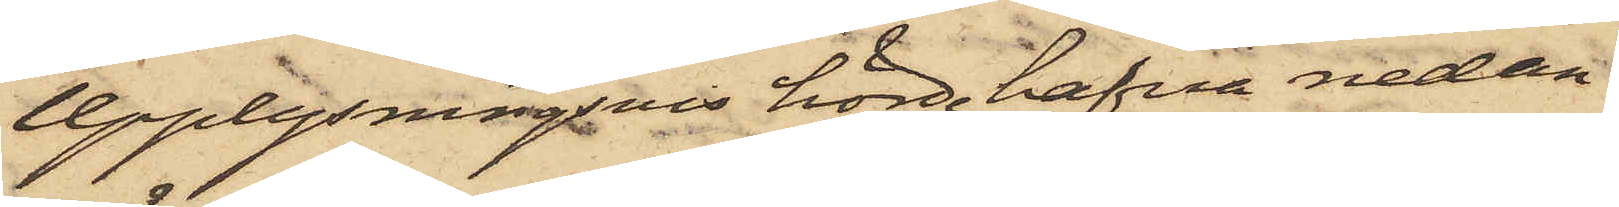Upplysningsvis hörde hafva nedan
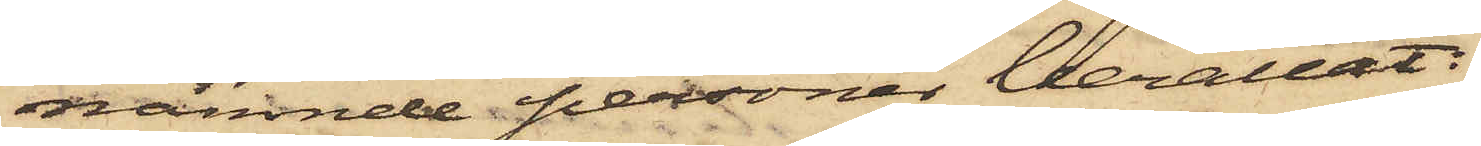nämnde personer berättat:
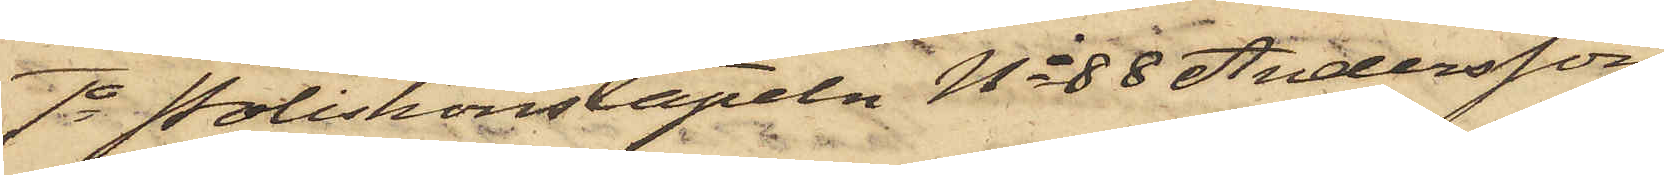1o Poliskonstapeln No 88 Andersson,
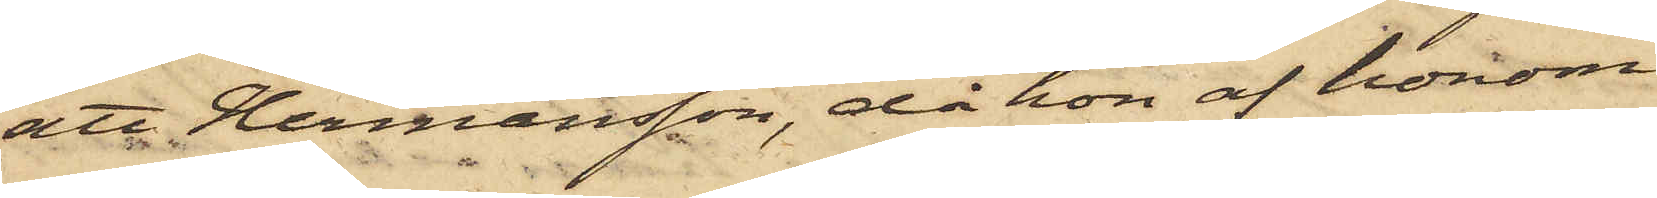att Hermansson, då hon af honom
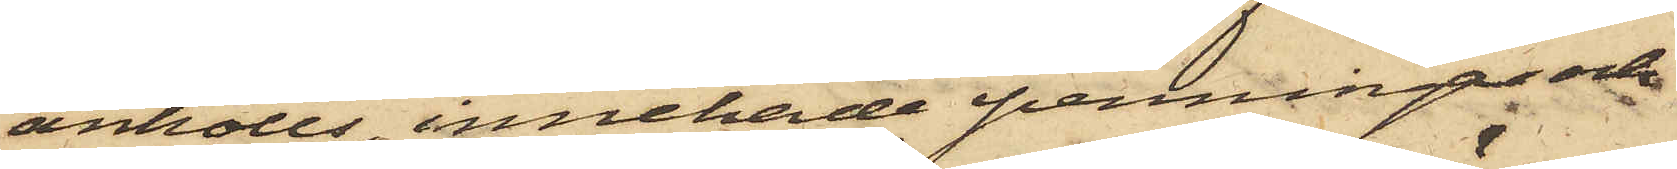anhölls, innehade penningar och
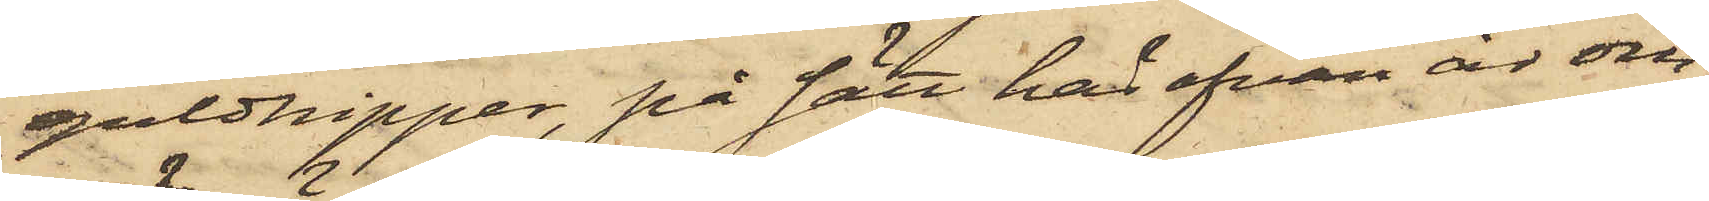guldnipper, på sätt här ofvan är om
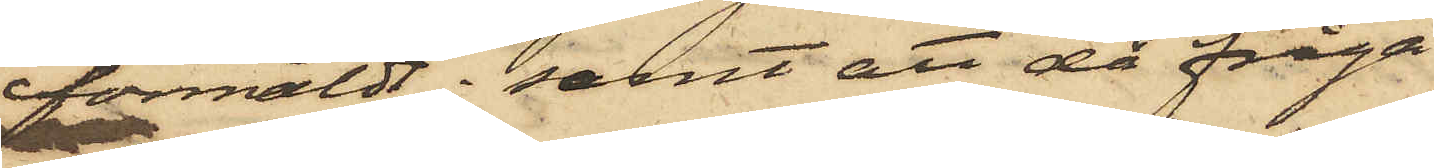förmäldt; samt att då fråga
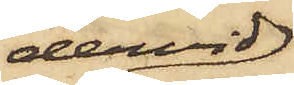dervid
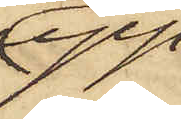upp¬
